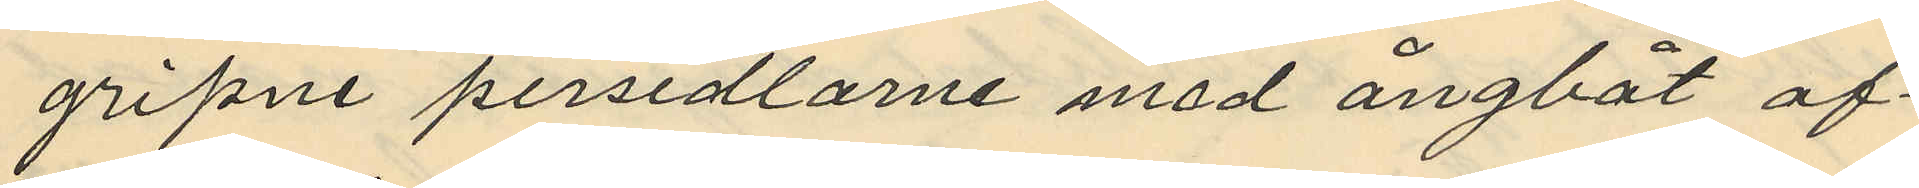gripne persedlarne med ångbåt af¬
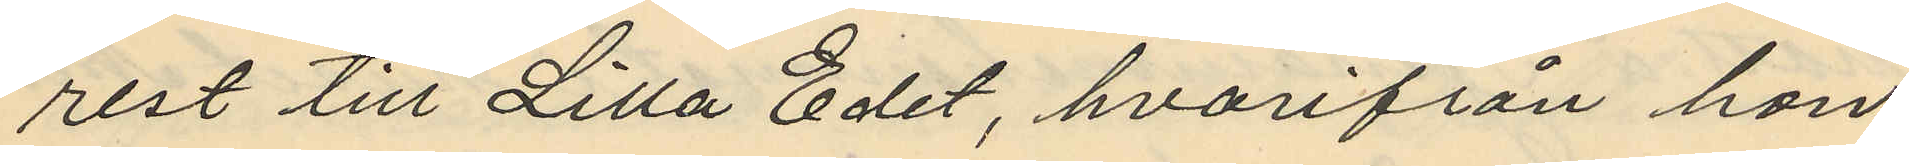rest till Lilla Edet, hvarifrån hon
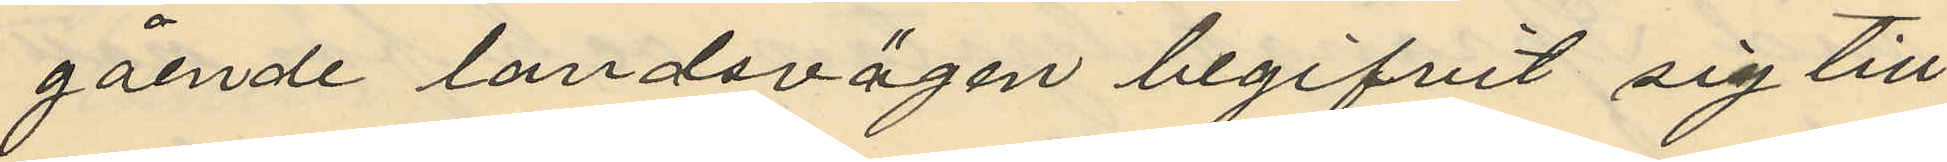gående landsvägen begifvit sig till
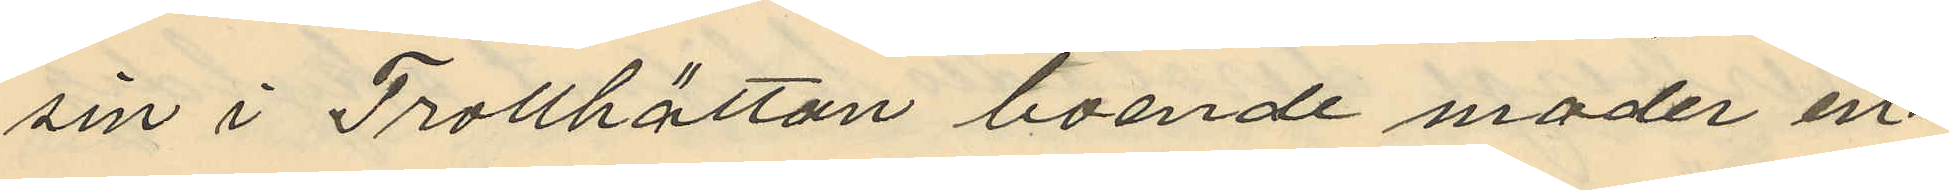sin i Trollhättan boende moder in¬
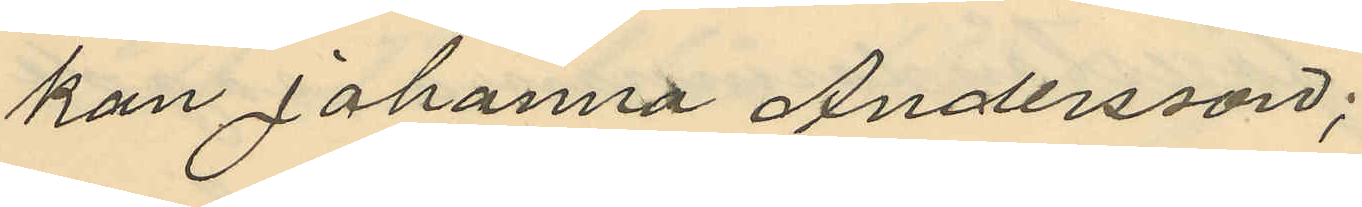kan Johanna Andersson;
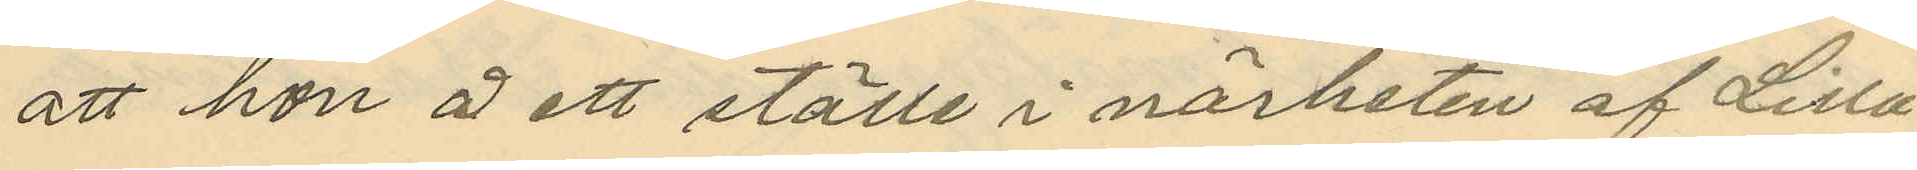att hon å ett ställe i närheten af Lilla
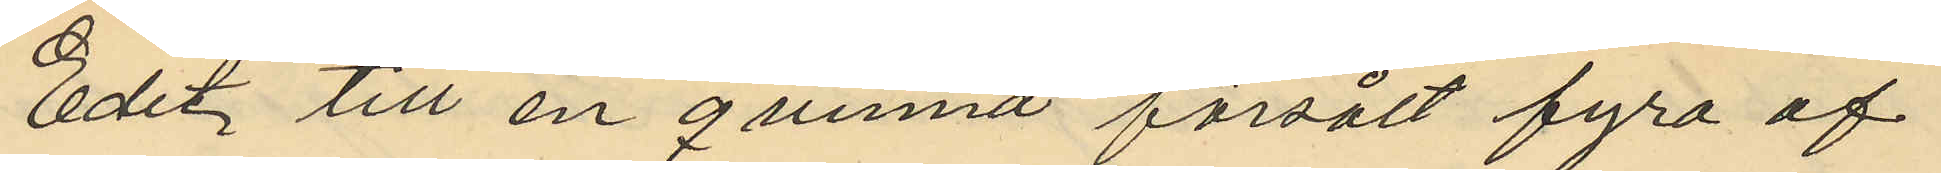Edet till en qvinna försålt fyra af
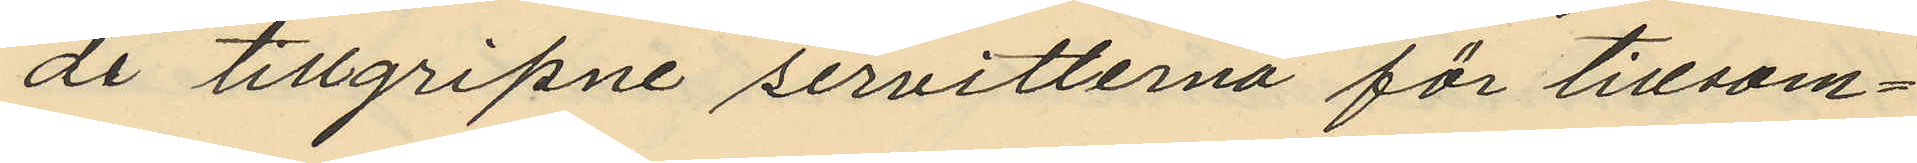de tillgripne servitterna för tillsam¬
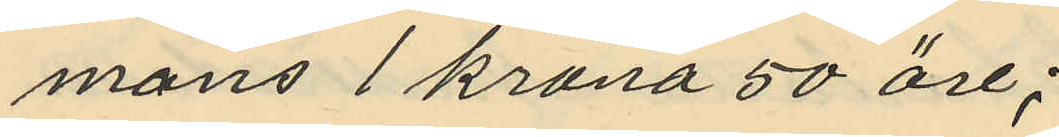mans 1 krona 50 öre;
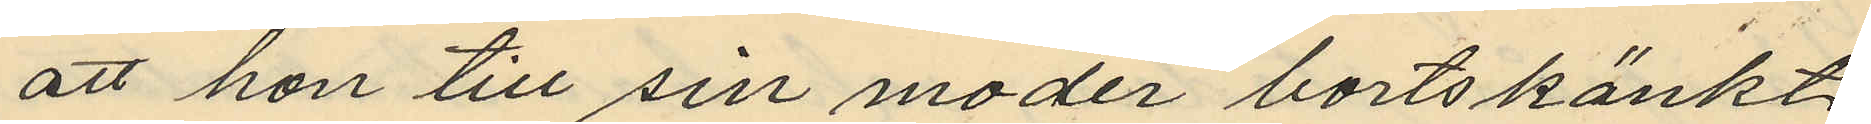att hon till sin moder bortskänkt
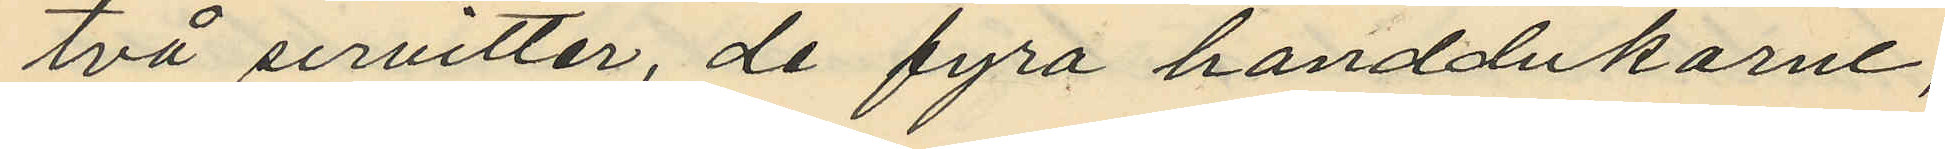två servitter, de fyra handdukarne,
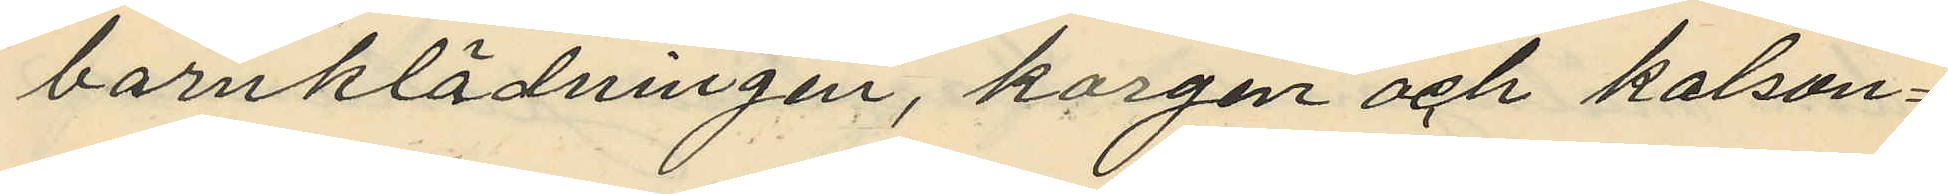barnklädningen, korgen och kalson¬
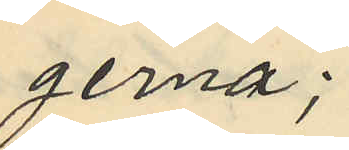gerna;
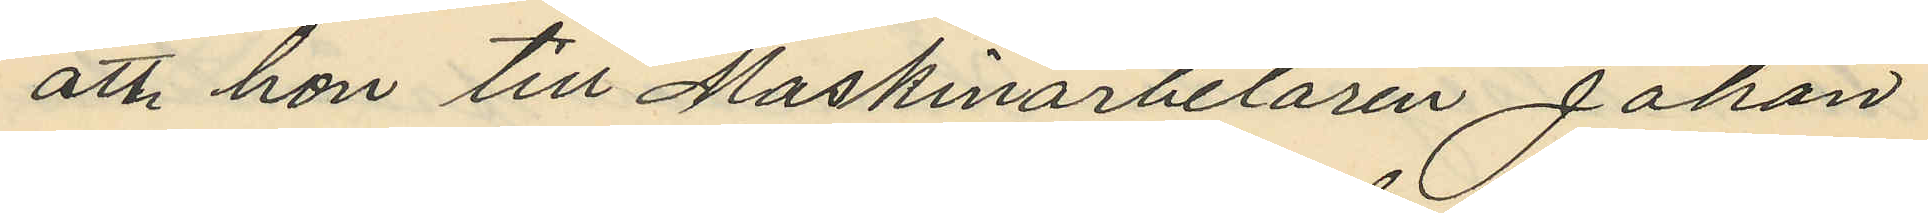att hon till Maskinarbetaren Johan
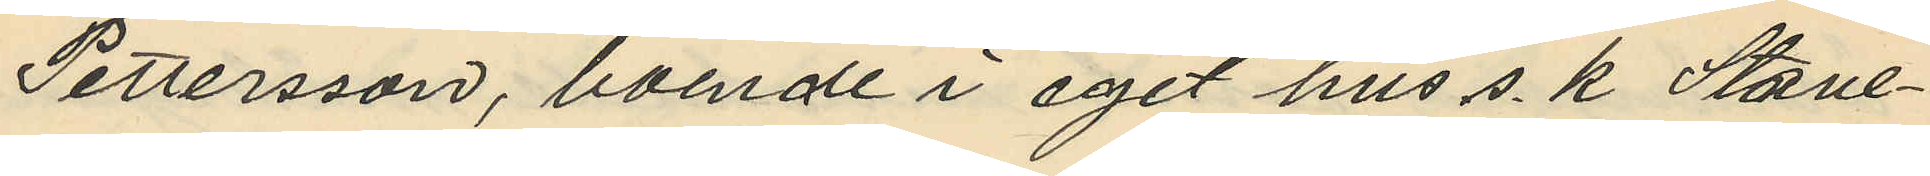Pettersson, boende i eget hus s. k. Stave¬
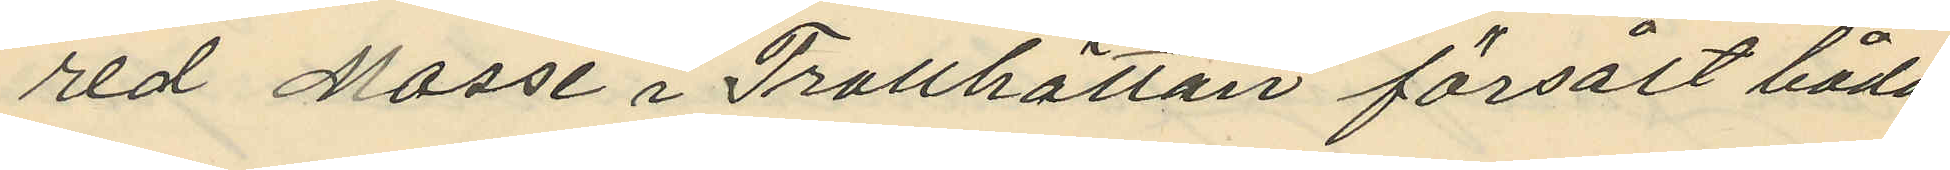red Mosse i Trotthättan försålt båda
